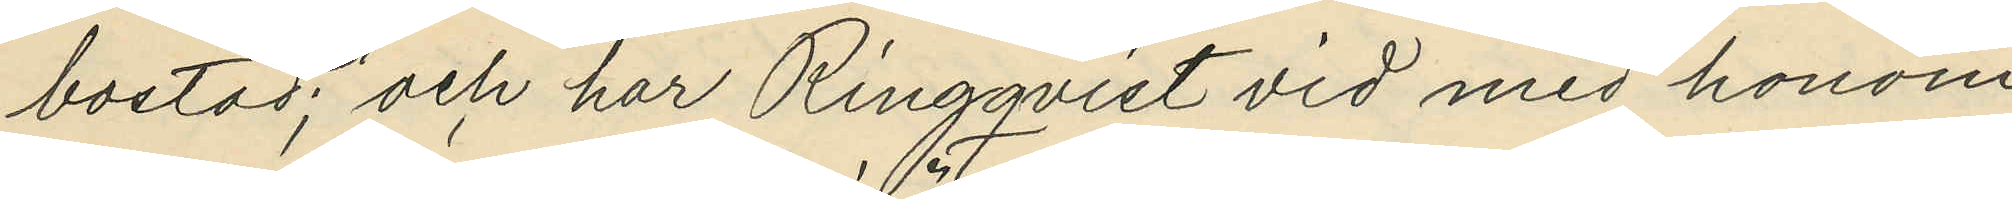bostad; och har Ringqvist vid med honom
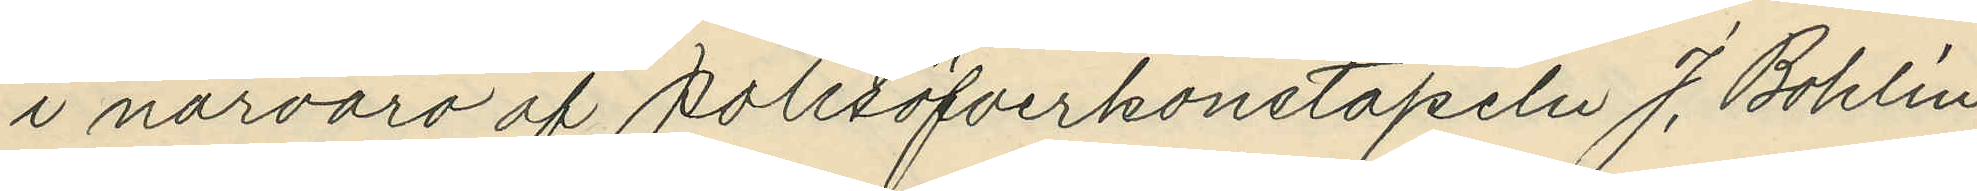i närvaro af polisöfverkonstapeln J. Bohlin
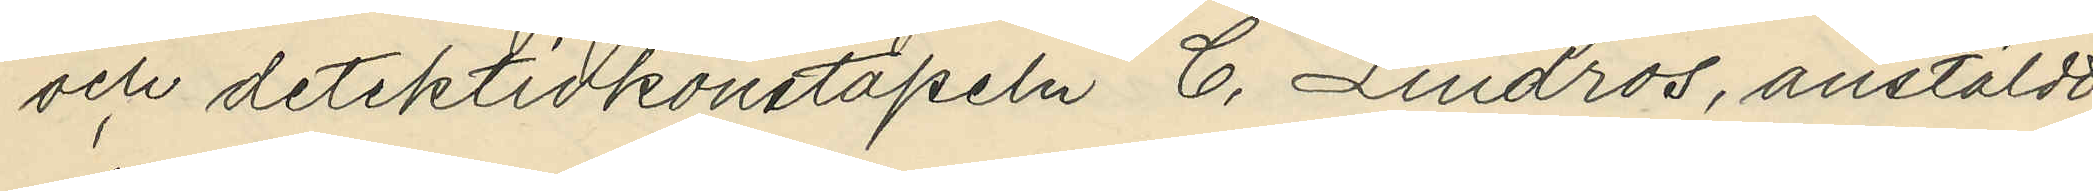och detektivkonstapeln C. Lindros, anstäldt
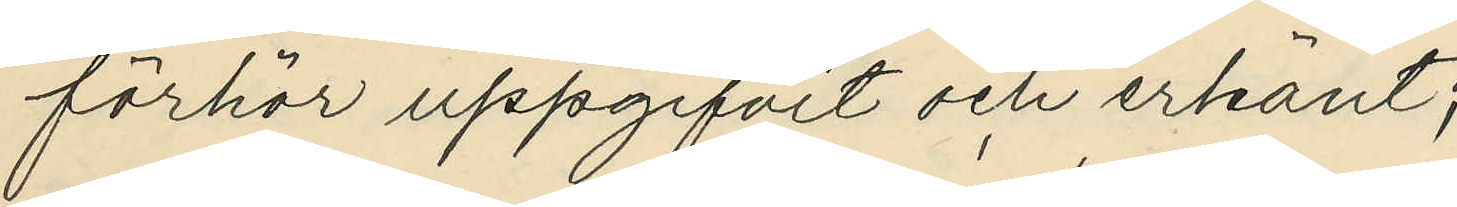förhör uppgifvit och erkänt;
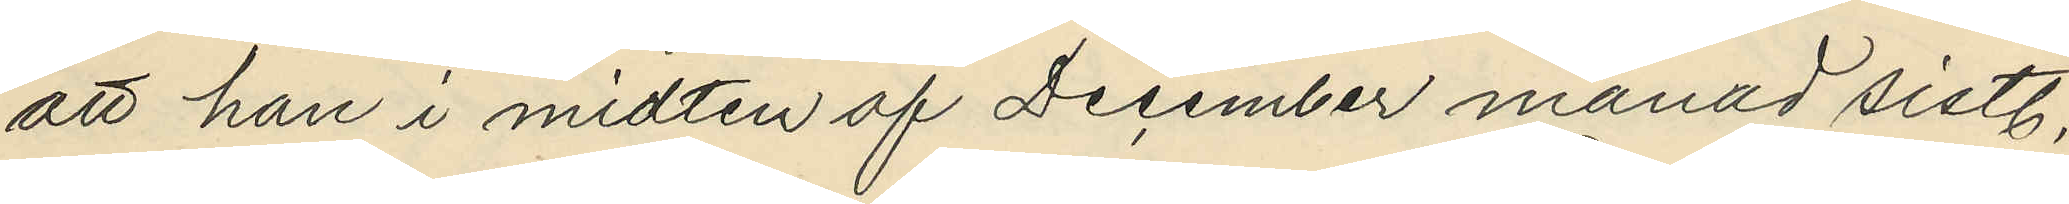att han i midten af December månad sistl.
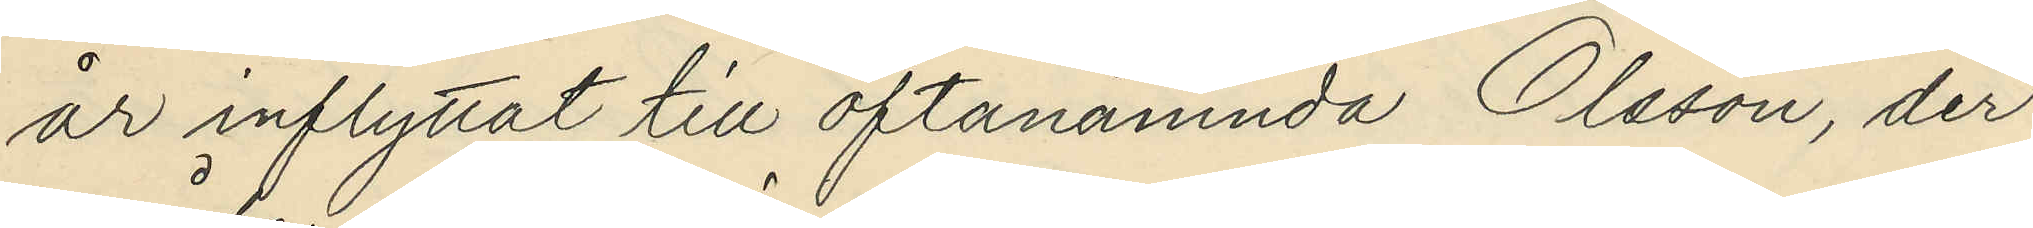år inflyttat till oftanämnda Olsson, der
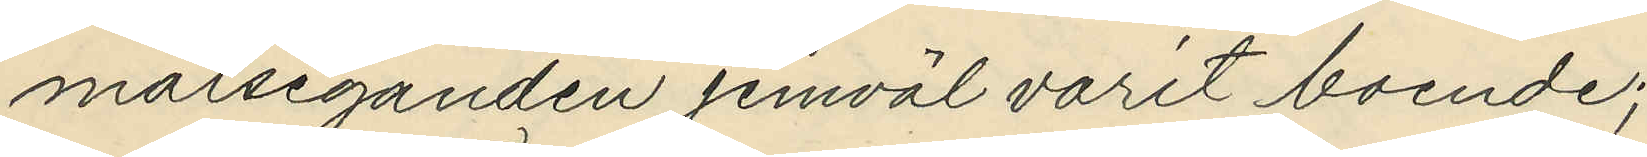målseganden jemväl varit boende;
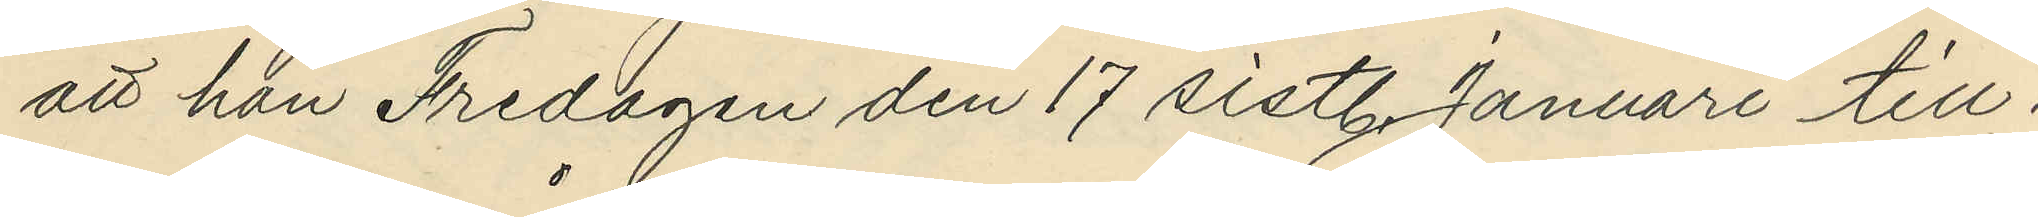att han Fredagen den 17 sistl. Januari till¬
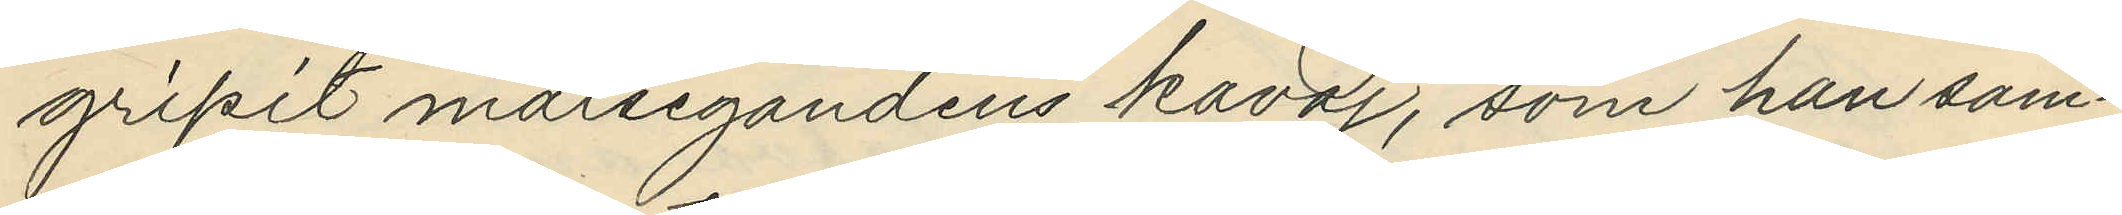gripit målsegandens kavaj, som han sam¬
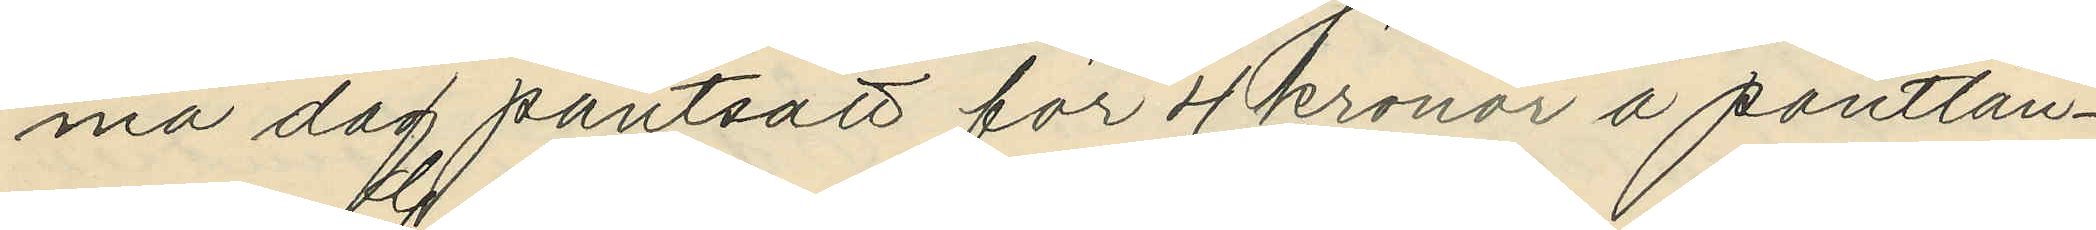ma dag pantsatt för 4 kronor å pantlån¬
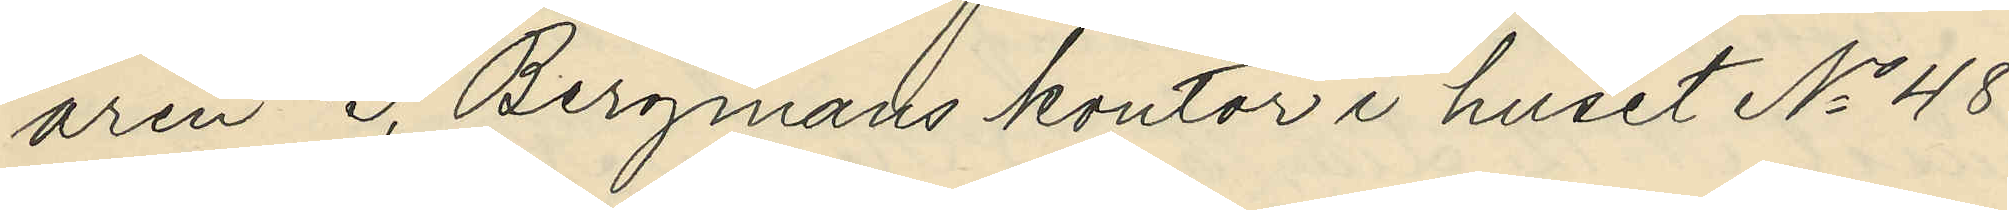aren G. Bergmans kontor i huset No 48
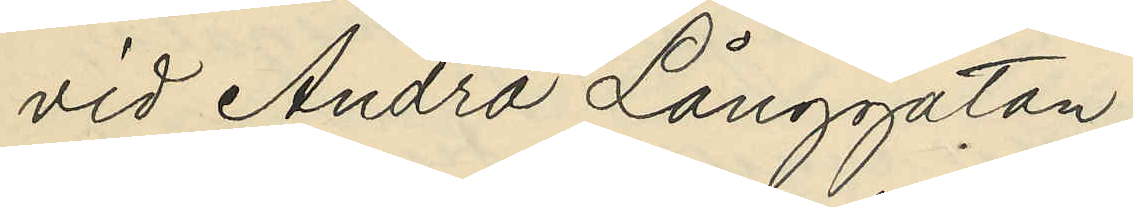vid Andra Långgatan;
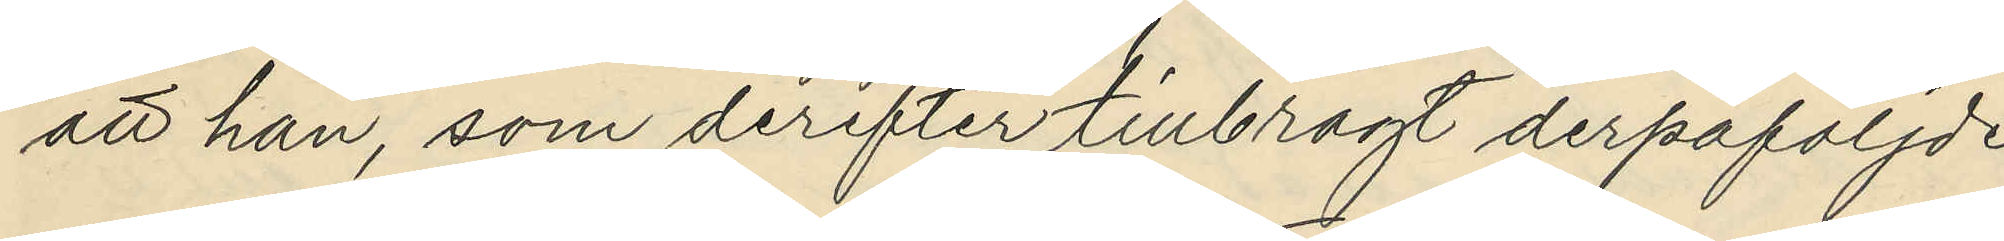att han, som derefter tillbragt derpåföljde
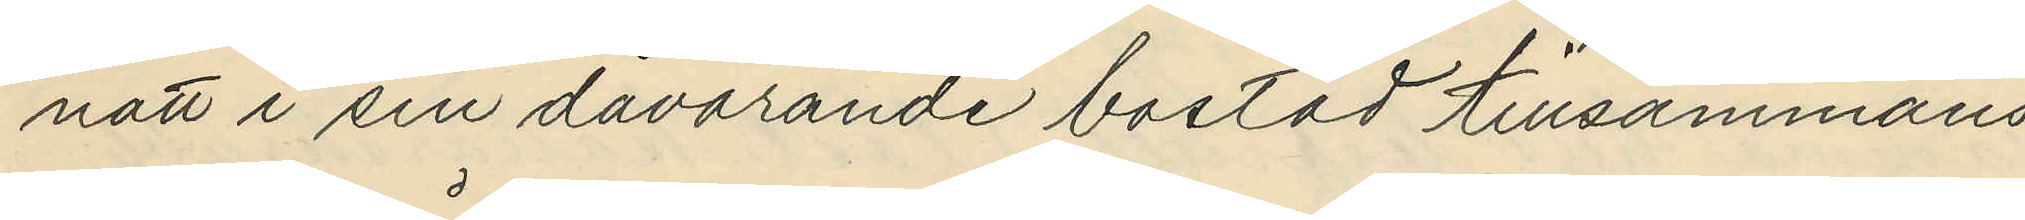natt i sin dåvarande bostad tillsammans
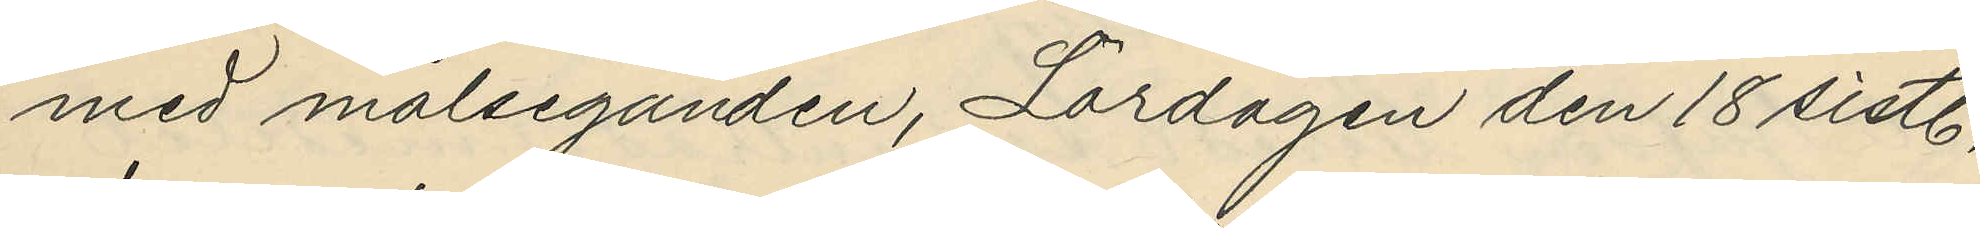med målseganden, Lördagen den 18 sistl.
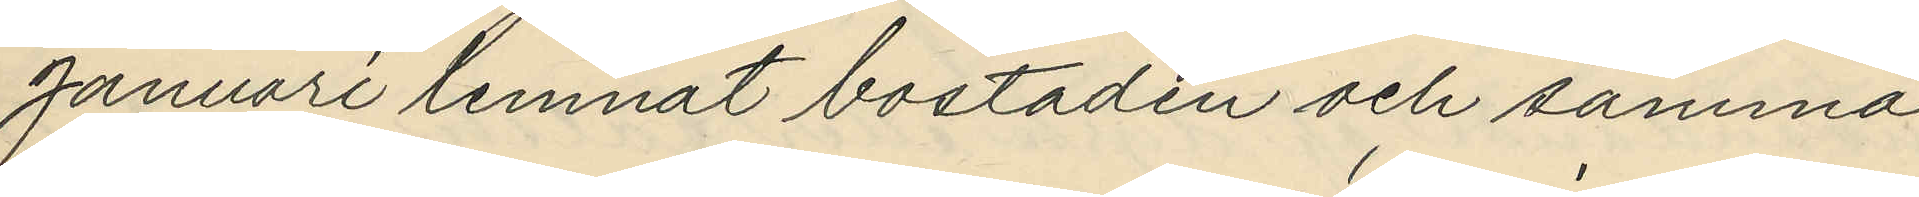Januari lemnat bostaden och samma
